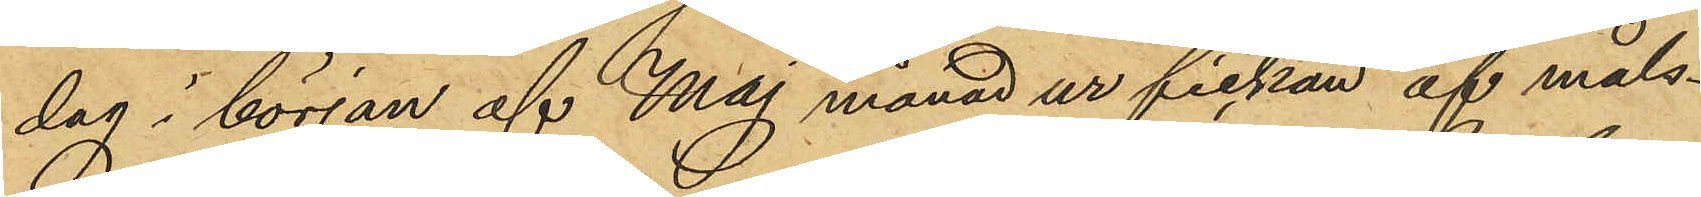dag i början af Maj månad ur fickan af måls¬
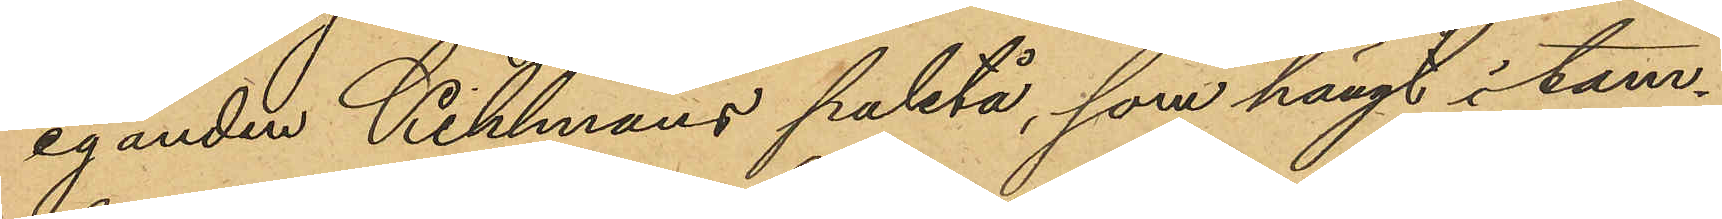eganden Kihlmans paletå, som hängt i tam¬
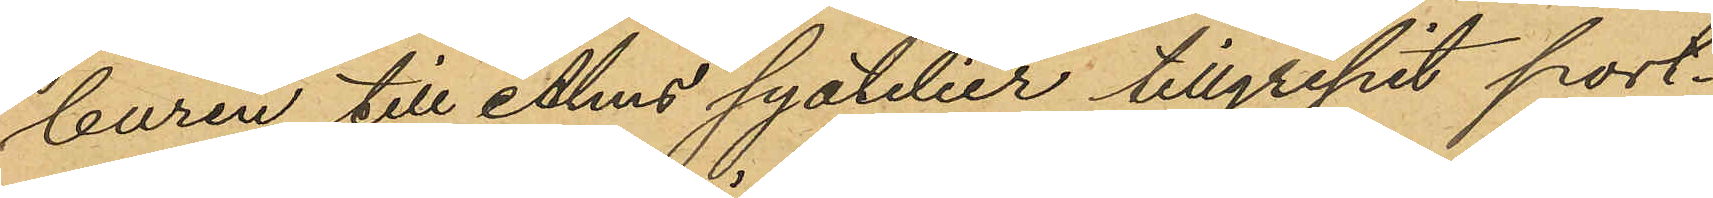buren till Alms syatelier tillgripit port¬
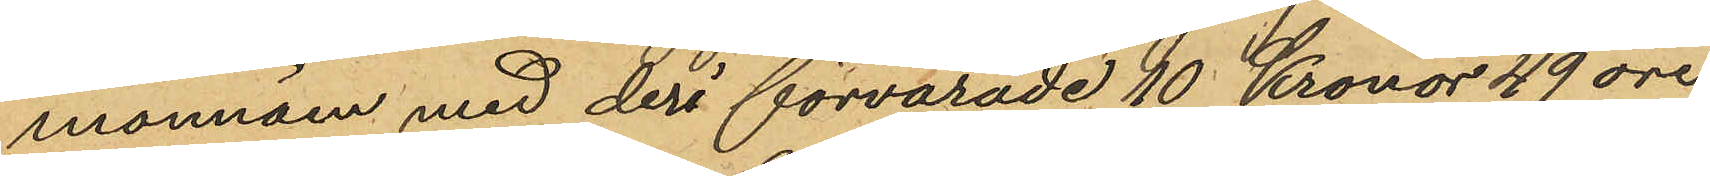monnäen med deri förvarade 10 Kronor 49 öre
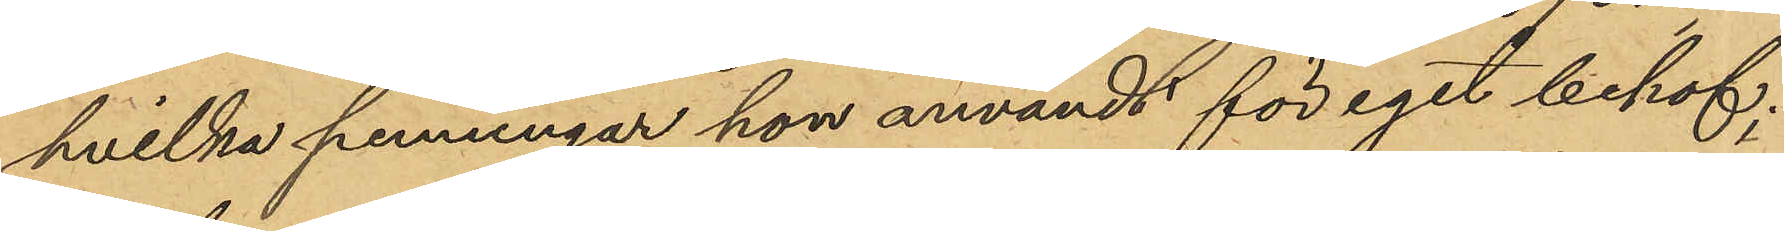hvilka penningar hon användt för eget behof;
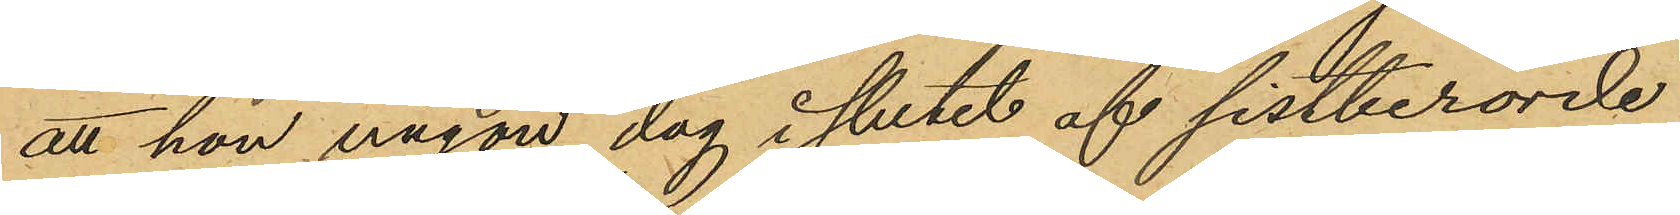att hon någon dag i slutet af sistberörde
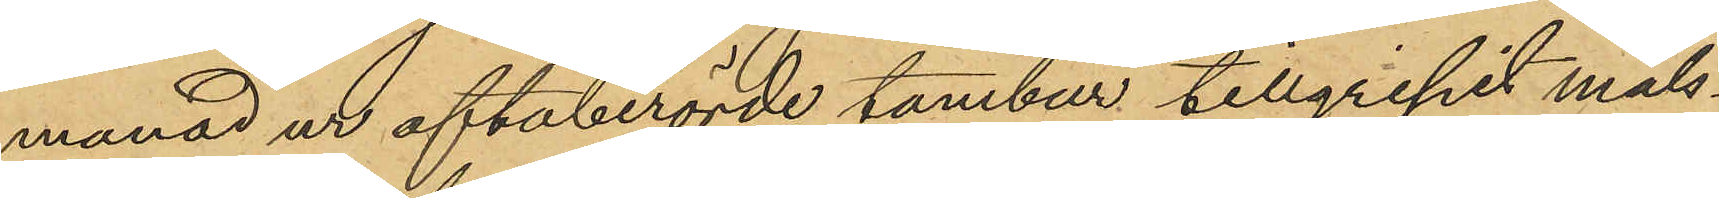månad ur oftaberörde tambur tillgripit måls¬
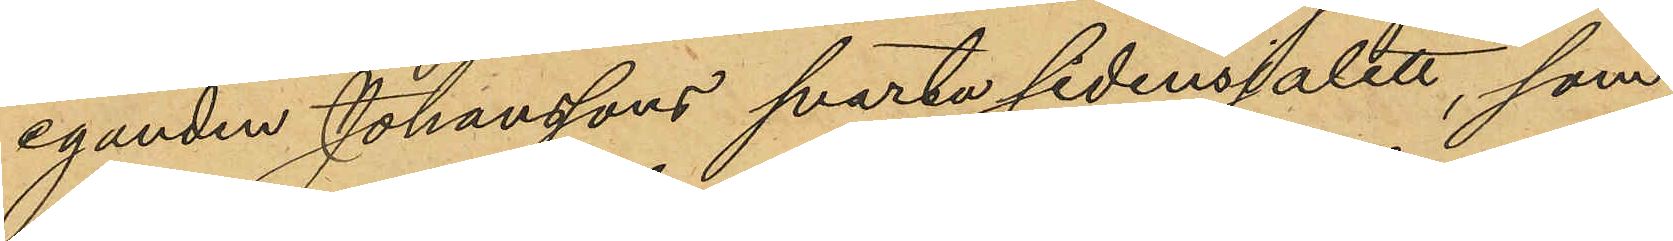eganden Johanssons svarta sidensjalett, som
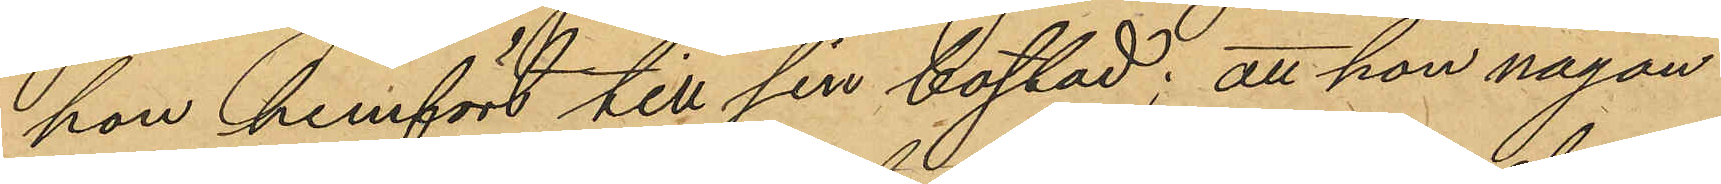hon hemfört till sin bostad; att hon någon
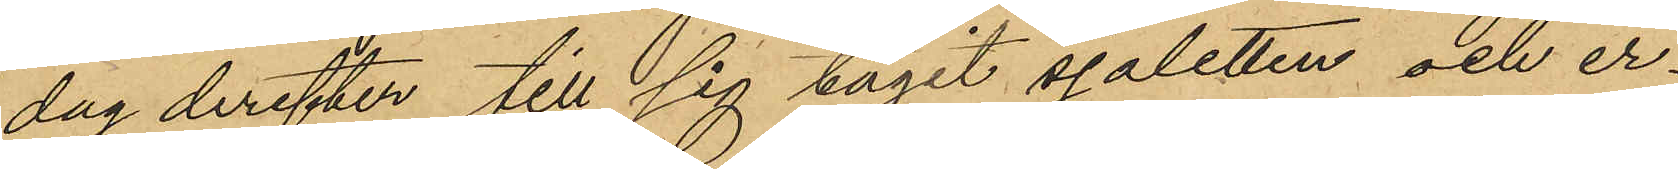dag derefter till sig tagit sjaletten och er¬
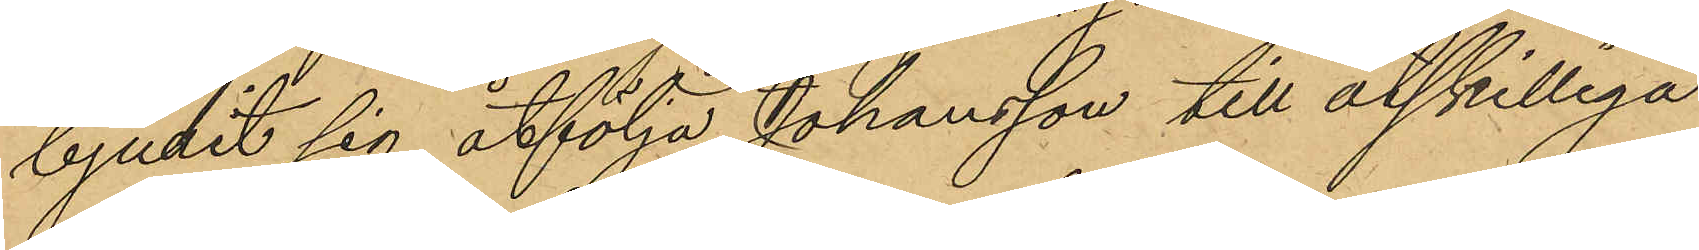bjulit sig åtfölja Johansson till åtskilliga
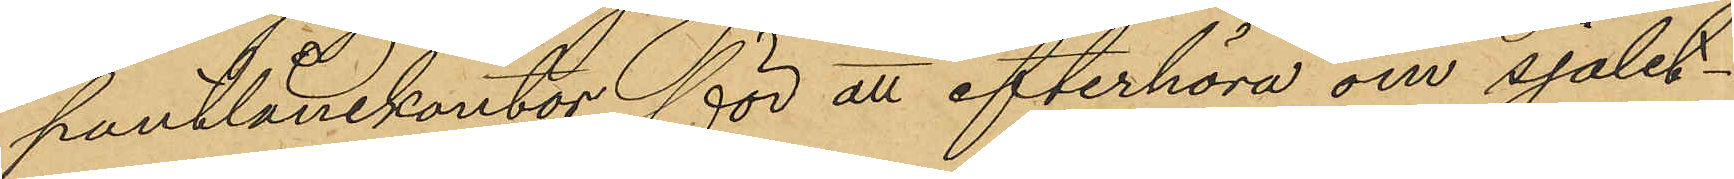pantlånekontor för att efterhöra om sjalet¬
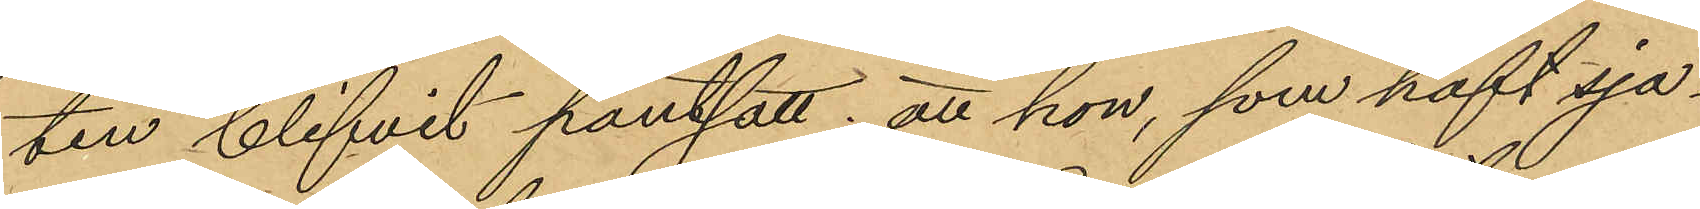ten blifvit pantsatt; att hon, som haft sja¬
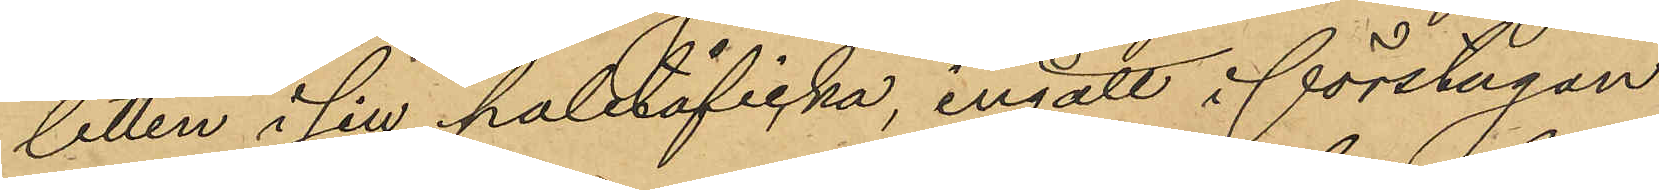letten i sin paletåficka, ingått i förstugan
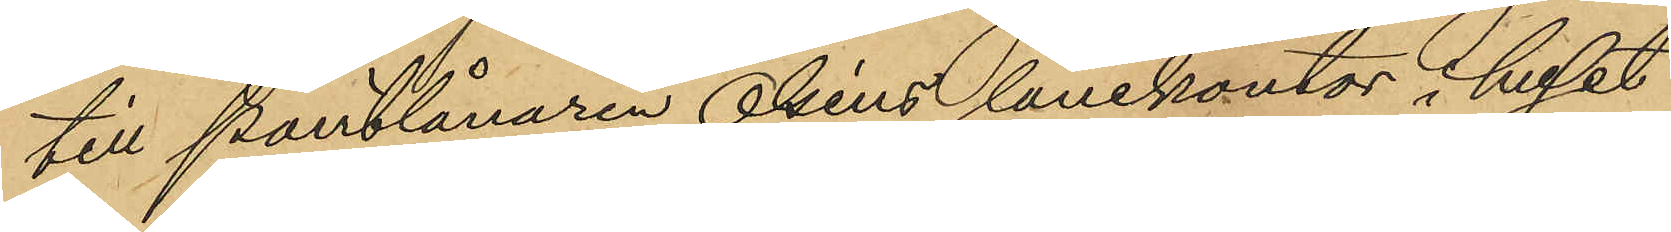till Pantlånaren Oléns lånekontor i huset
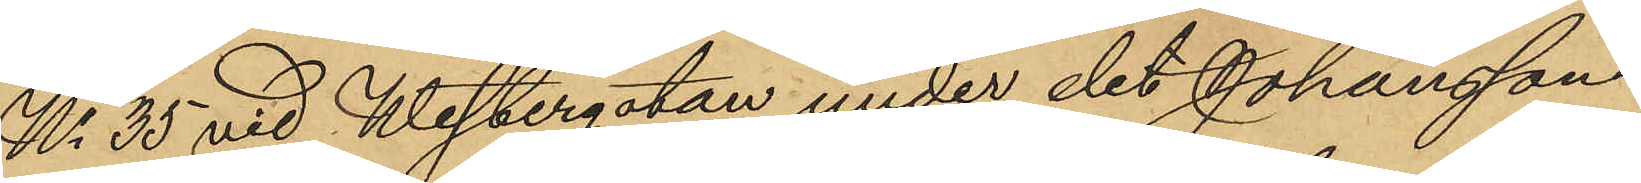No 35 vid Westergatan under det Johansson
